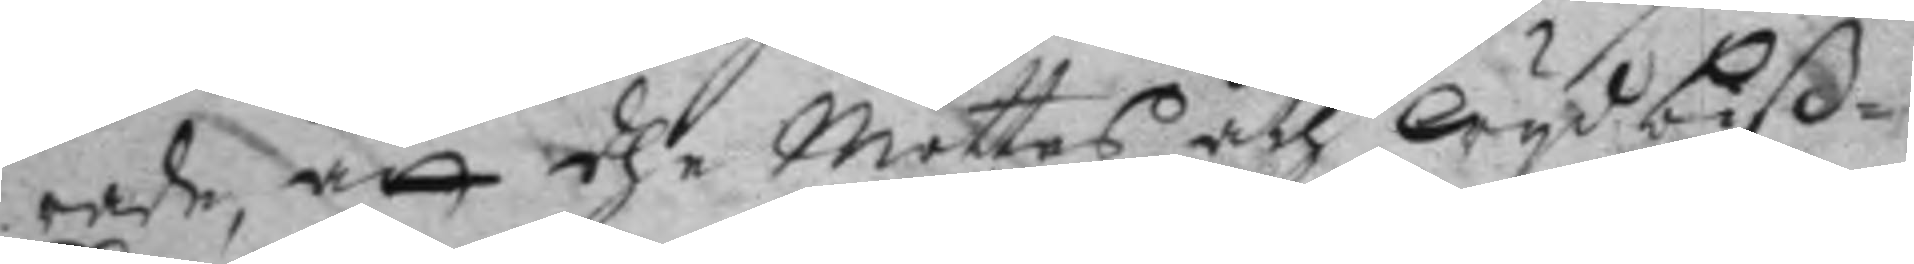rade, att dhe Möttes åth Wyd  biß¬
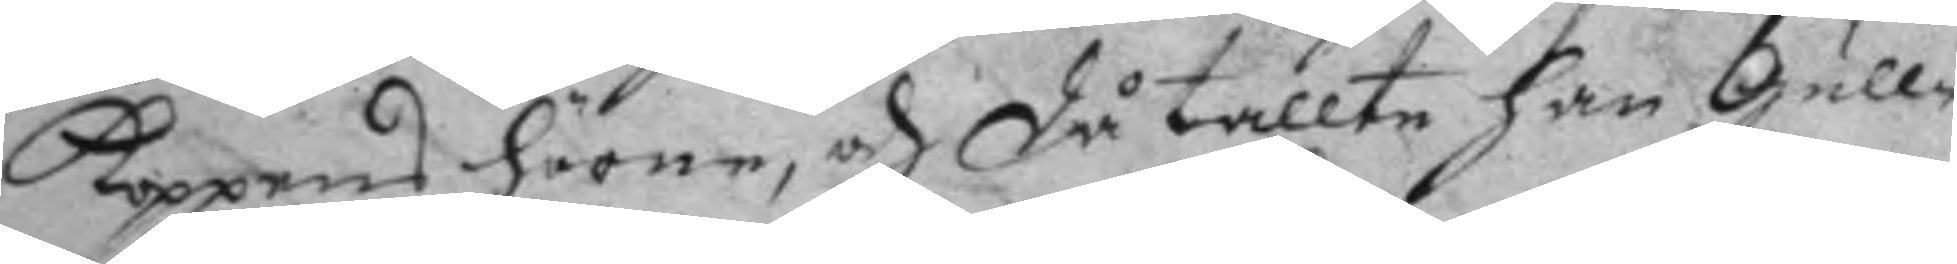Koppens härne, och då tallte han Gull¬
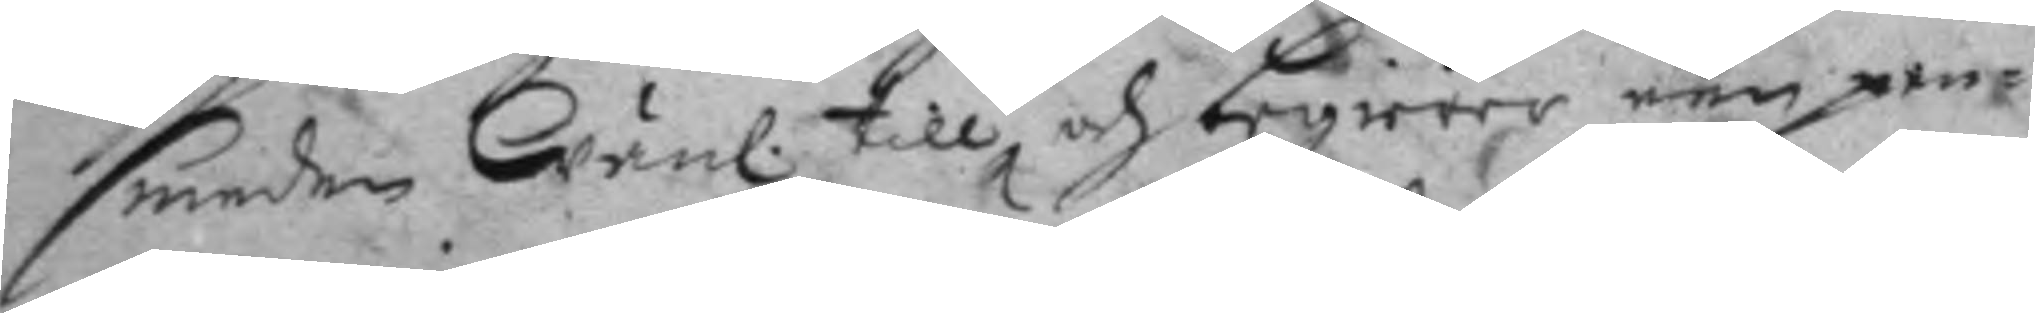smeden Wän. till, och begierer een pen¬ 
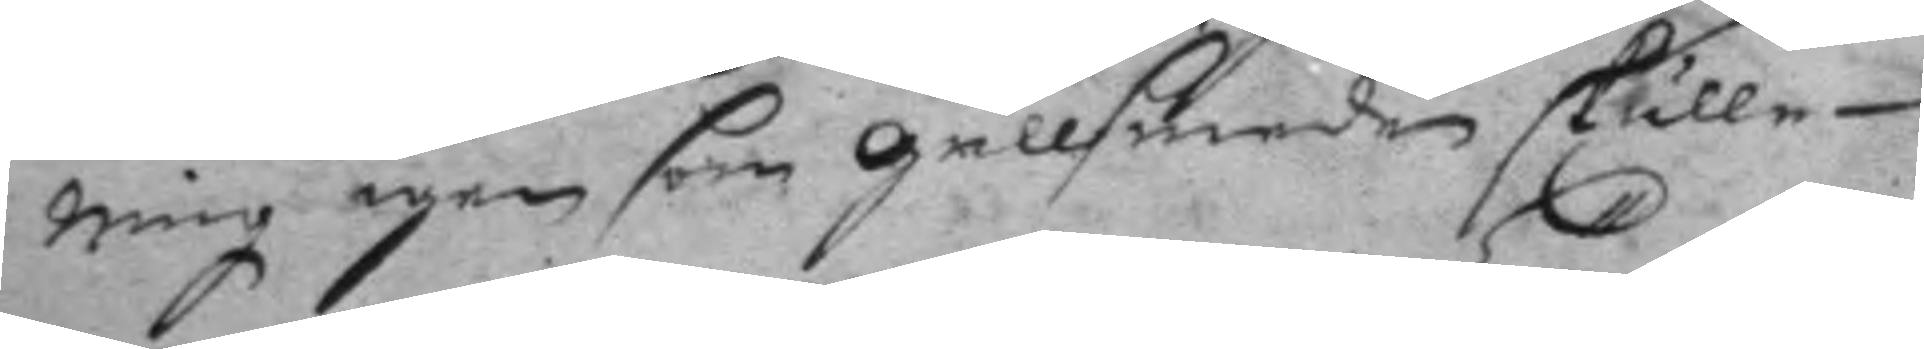ning igen som gullsmeden skulle
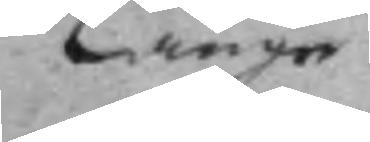Länge
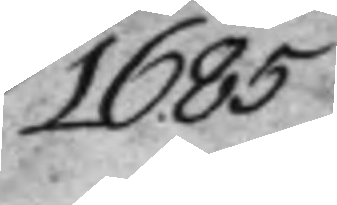1685
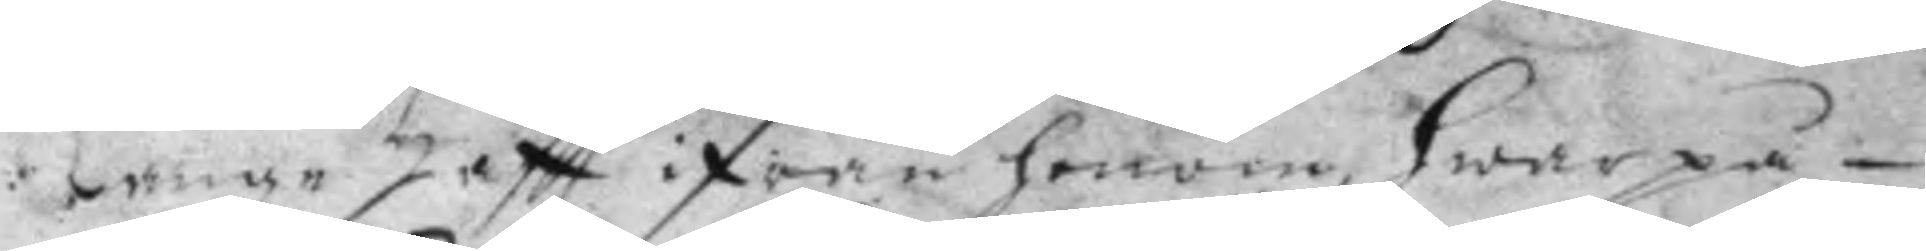Länge Haftt ifrån honom, hwarpå
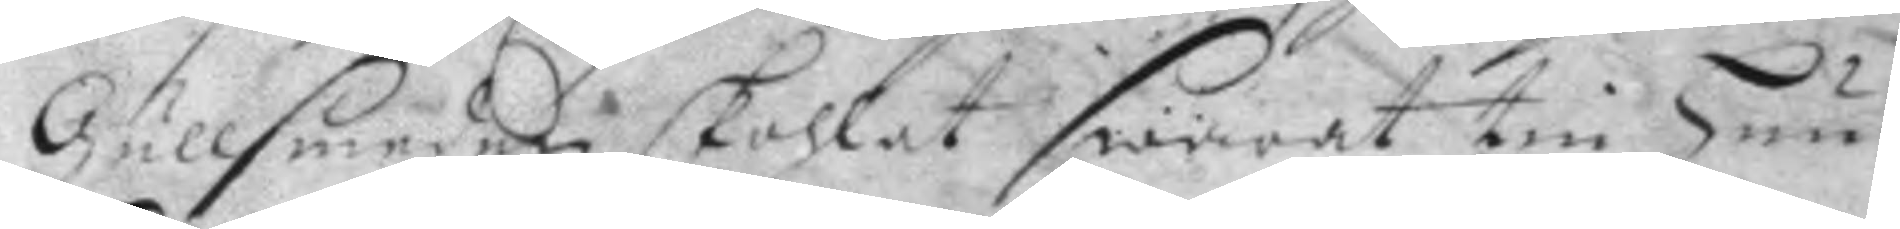Gullsmeden skohlat swarat tin hun¬
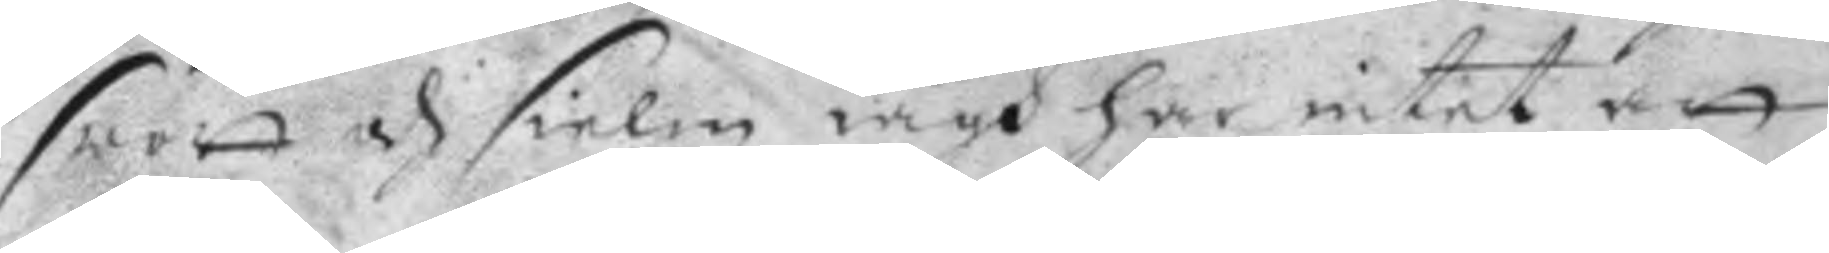swott och sielm iagh här intet att
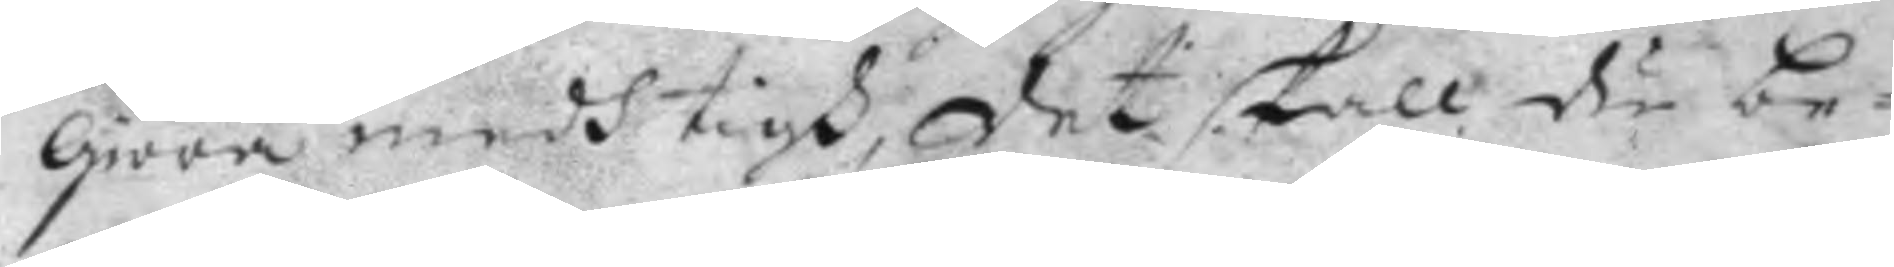giöra medh tigh, det skall du be¬
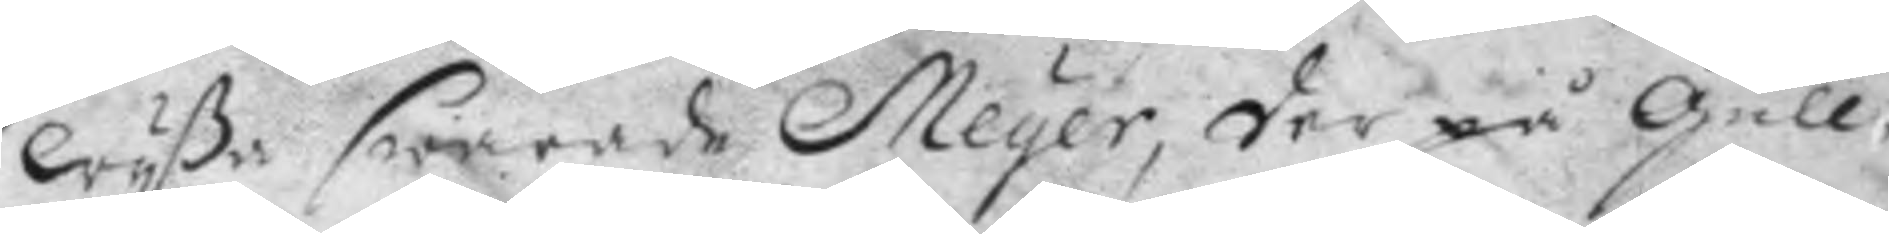wyße swarade Meyer, der på Gull¬
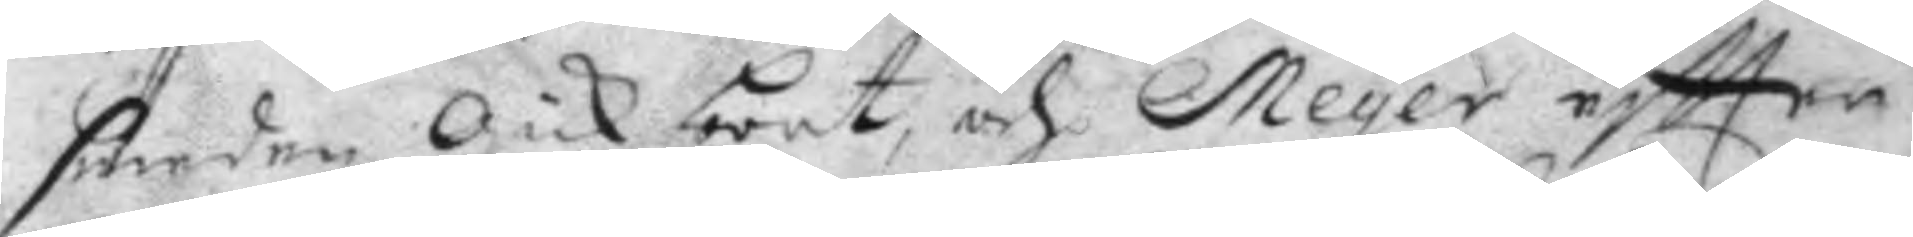smeden gick bort, och Meyer eftter
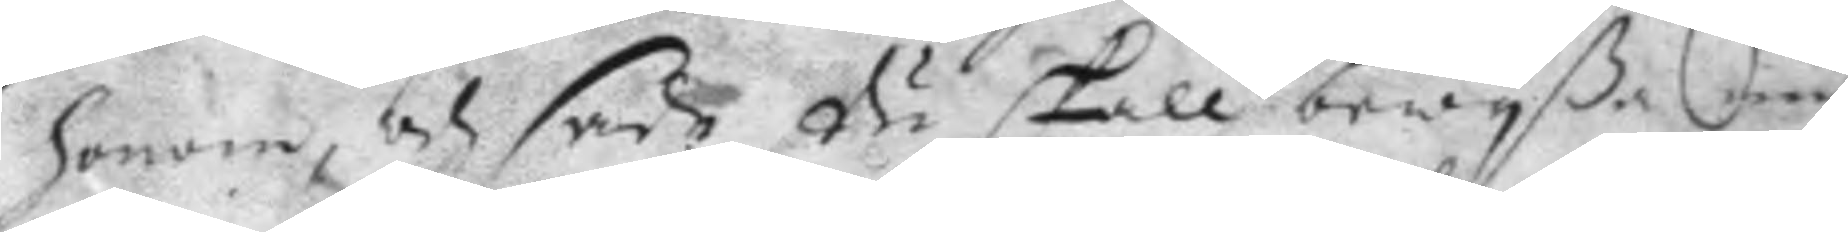honom, och sade du skall bewyßa mig
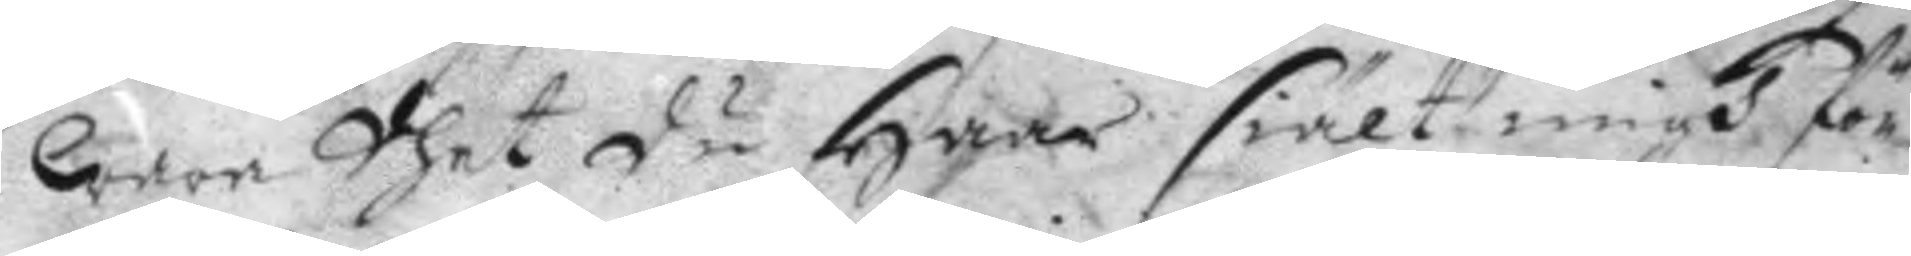wara dhet du haar siält migh för¬
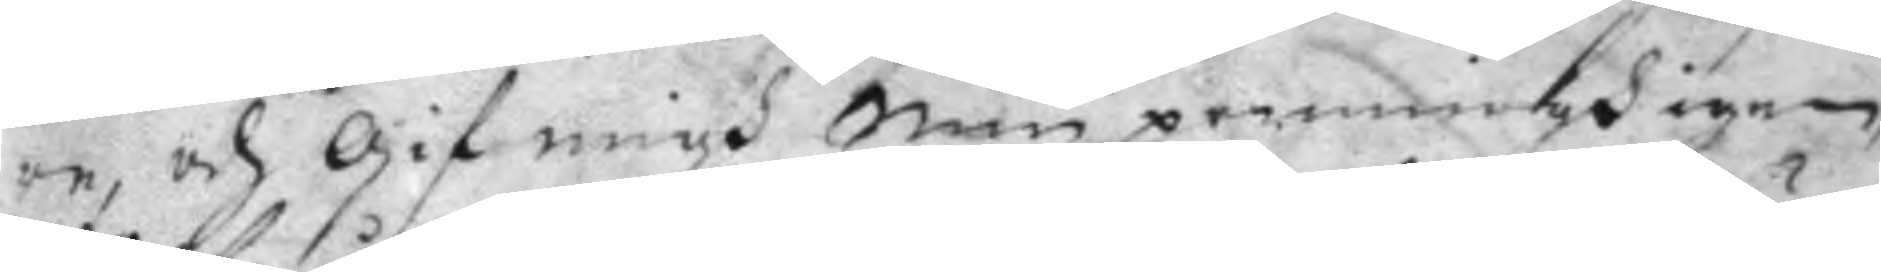re, och gif migh Min penningh igen,
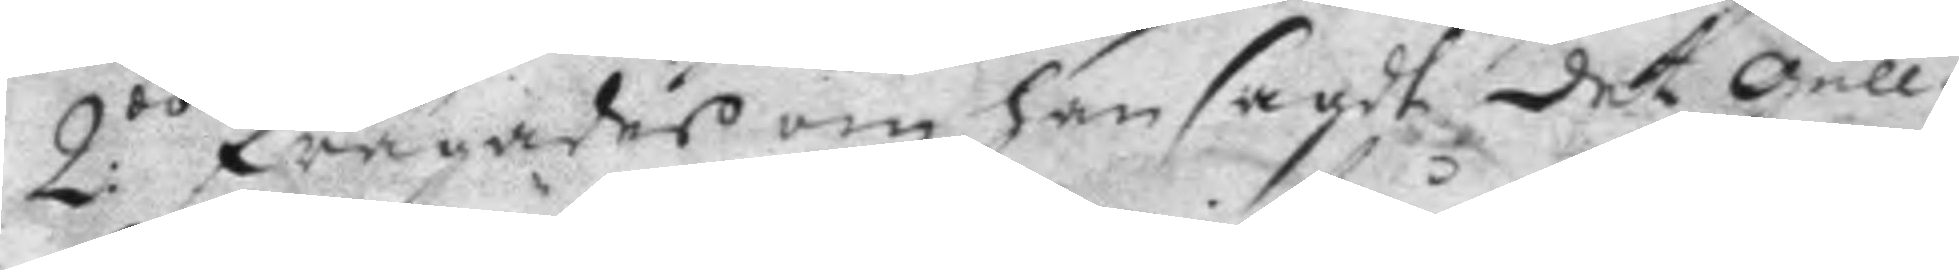2:o frågades om han sagdt det Gull¬
